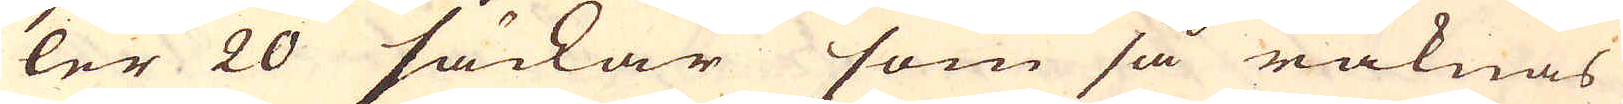ler 20 säckar som så räknas
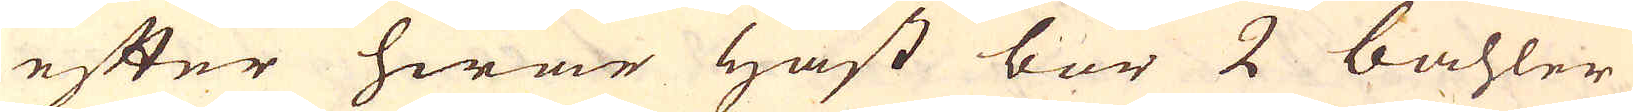efter hwar häst bör 2 bahler
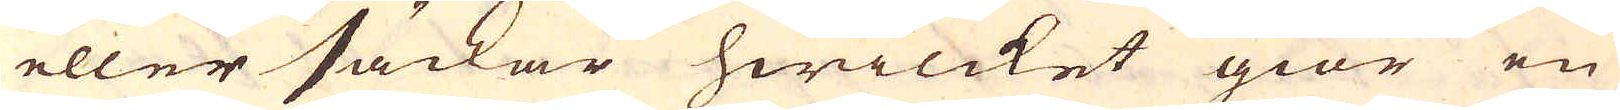eller säckar hwilcket giör en
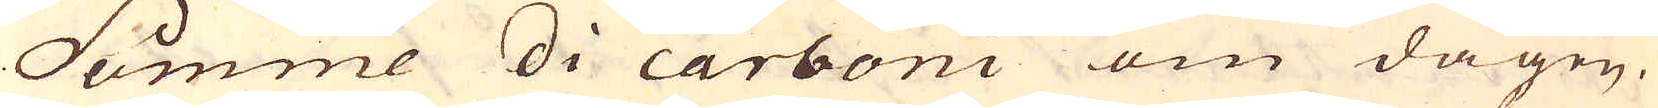Summe di carboni om dagen.
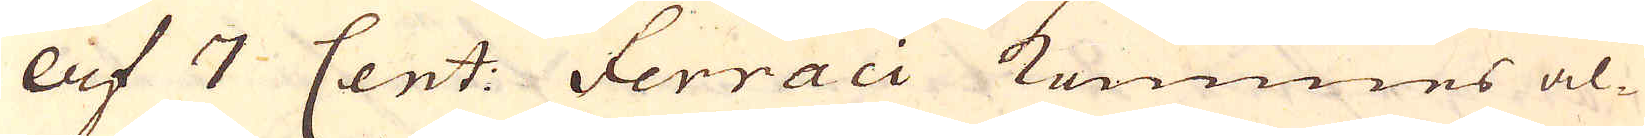af 7 Cent: Ferraci kommes al-
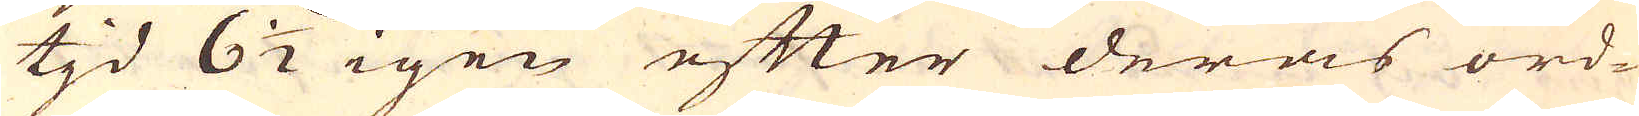tjd 6 1/2 igen efter deras ord-
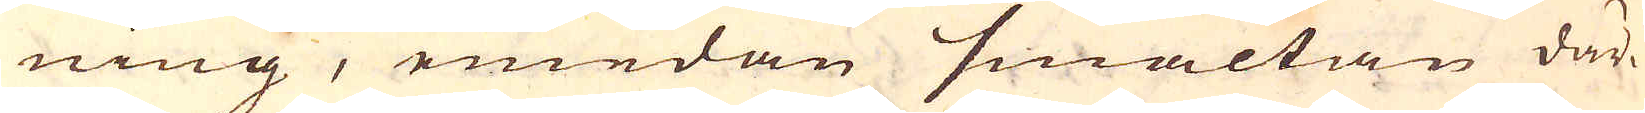ning, emedan smältan där-
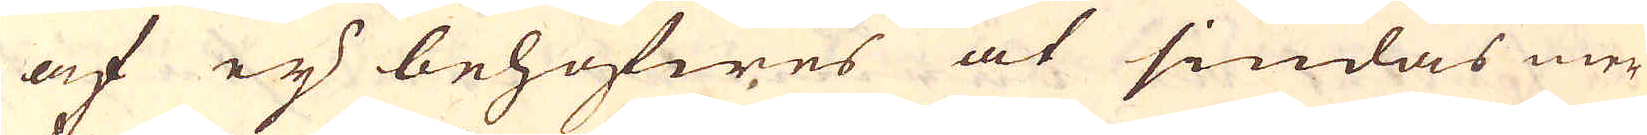af eij behöfwes at siudas mer
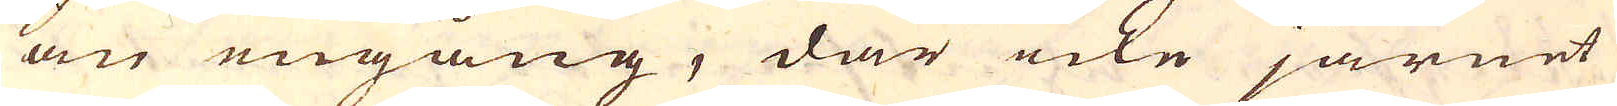än engång, där icke järnet
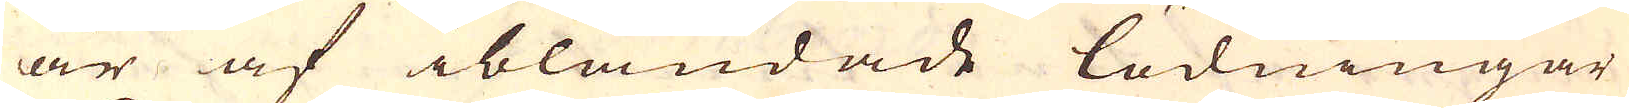är af iblandade lödningar
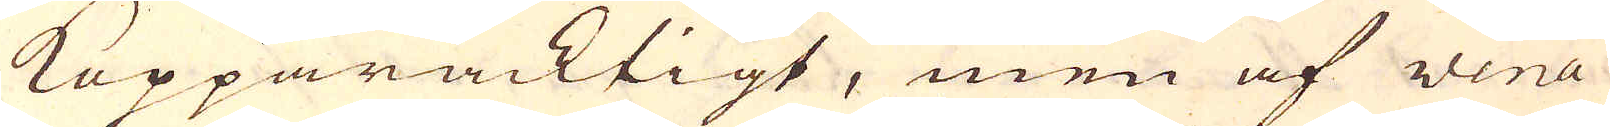Kopparacktigt, men af vena
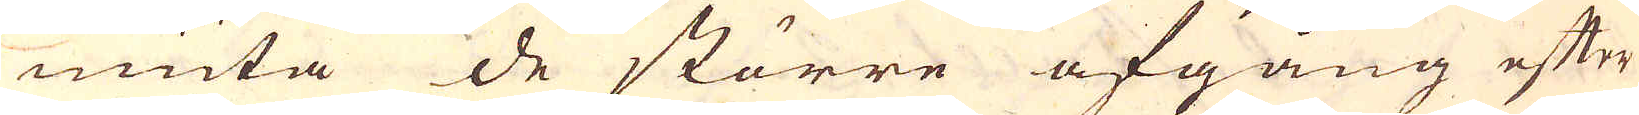niuta de större afgång efter
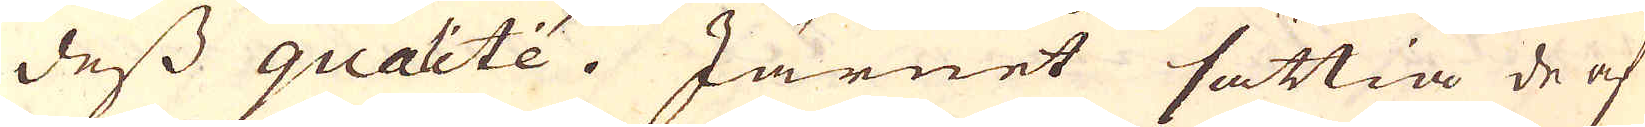dess qualtée. Järnet sättia de af
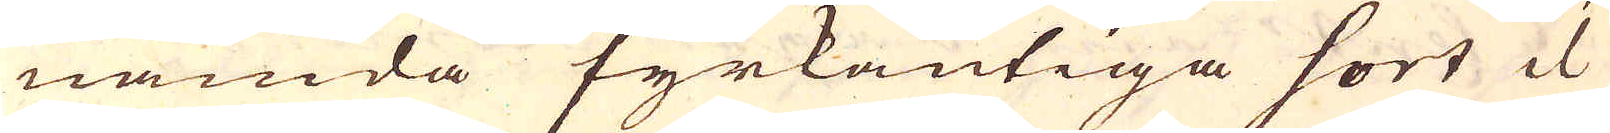nämda fyrkantiga sort il
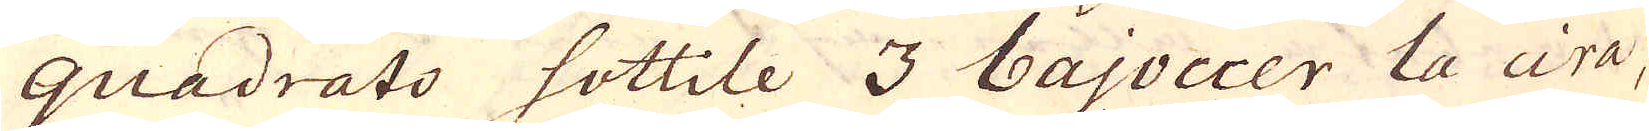quadrato sottile 3 bajoccer la cira-
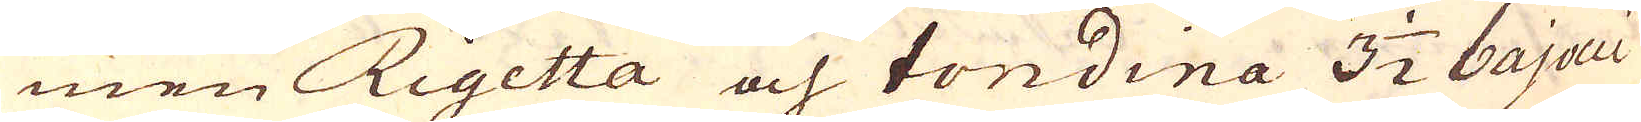men Rigetta och tondina 3 1/2 bajocci
